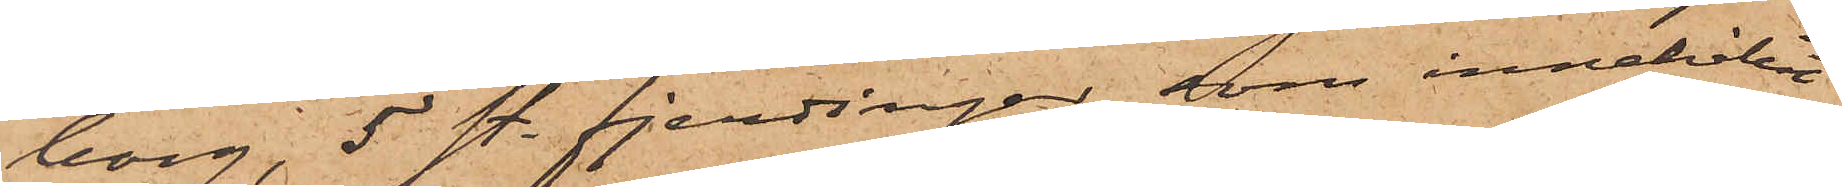borg, 5 st. fjerdingar, som innehållit
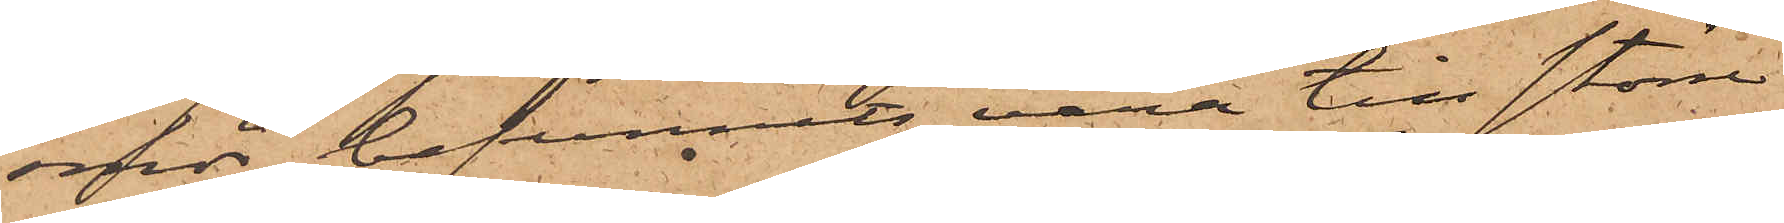smör, befunnits vara till större
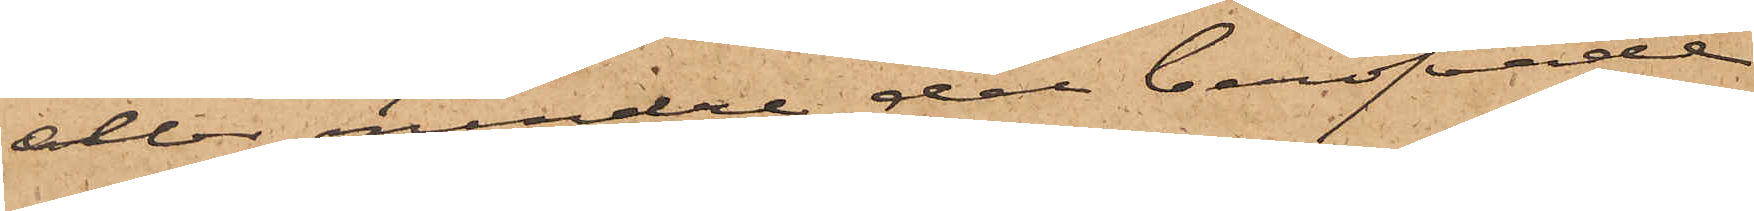eller mindre del beröfvade
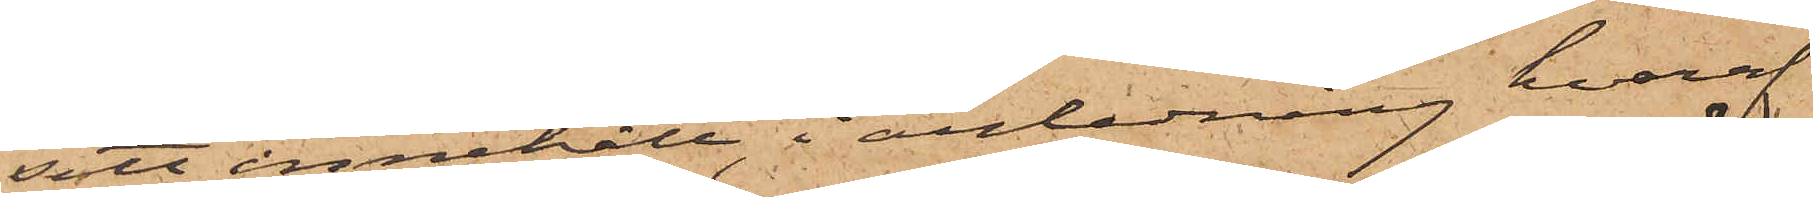sitt innehåll, i anledning hvaraf
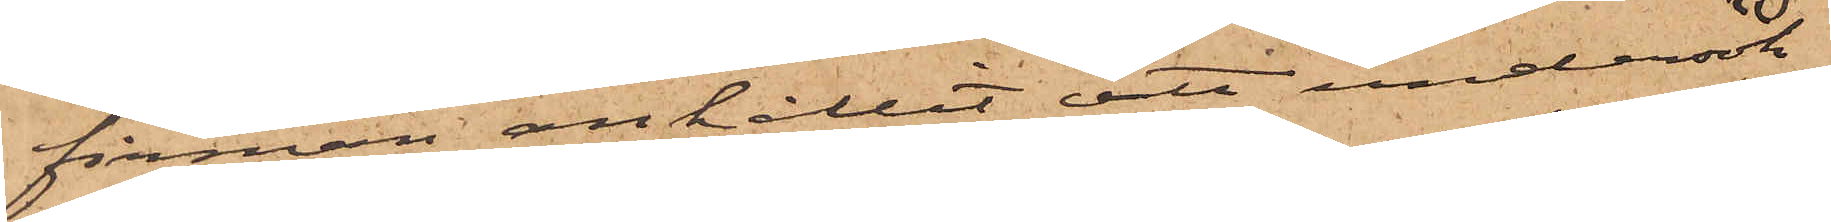firman anhållit att undersök¬
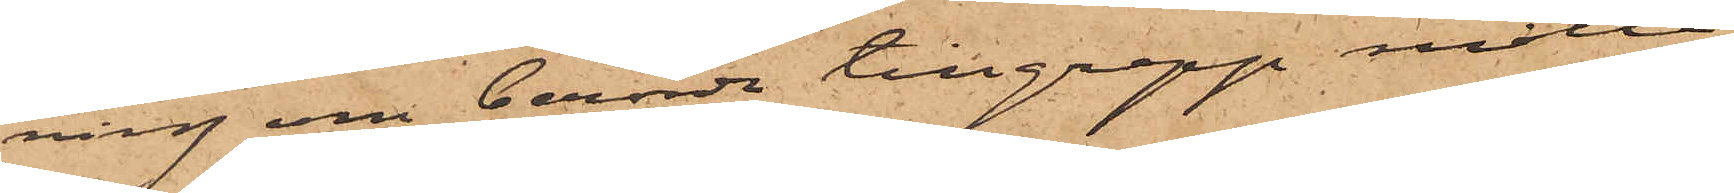ning om berörde tillgrepp måtte
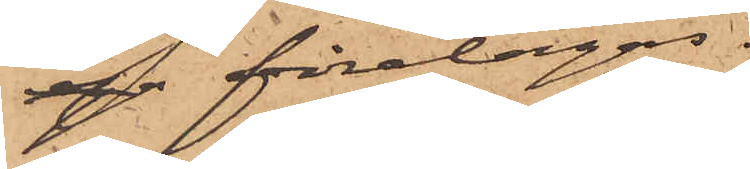 företagas.
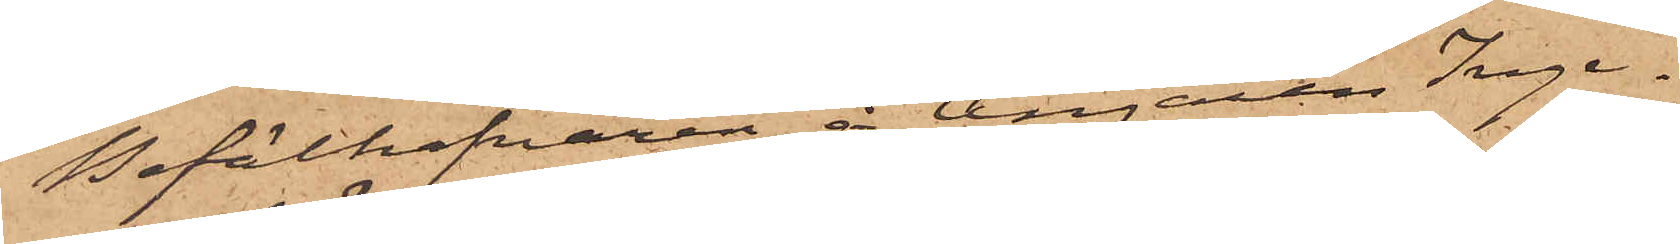Befälhafvaren å Ångaren Inge¬
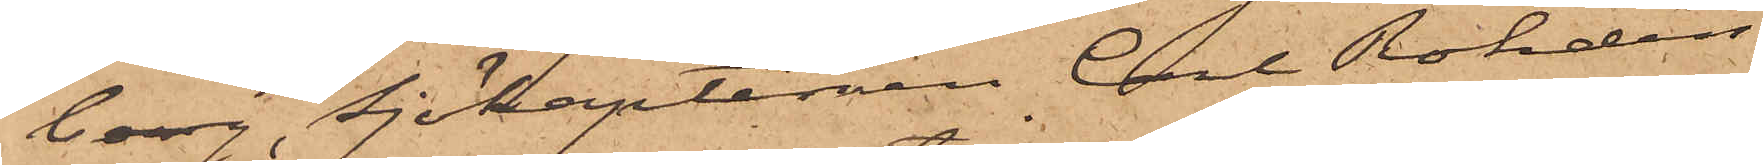borg, Sjökaptenen Carl Rohdin
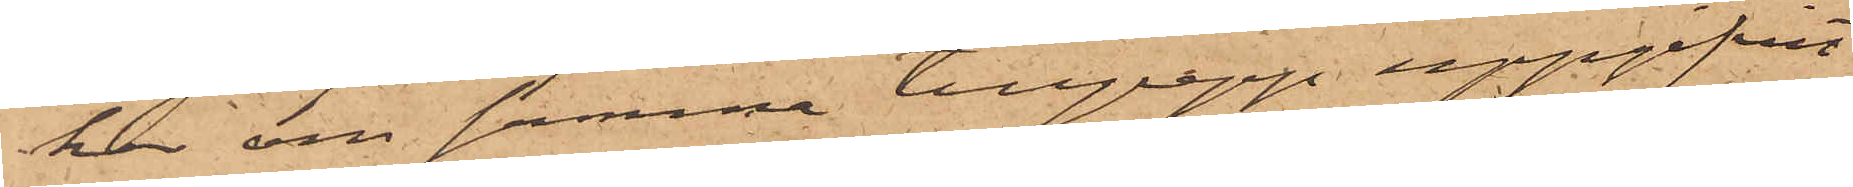har om samma tillgrepp uppgifvit
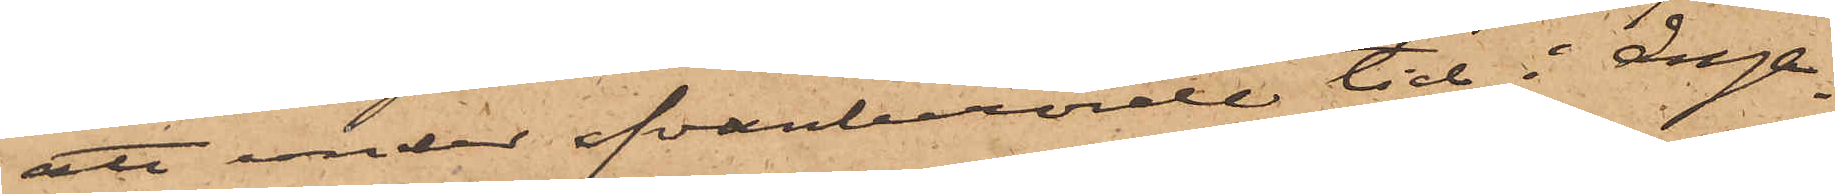att under ofvanberörde tid i ånga¬
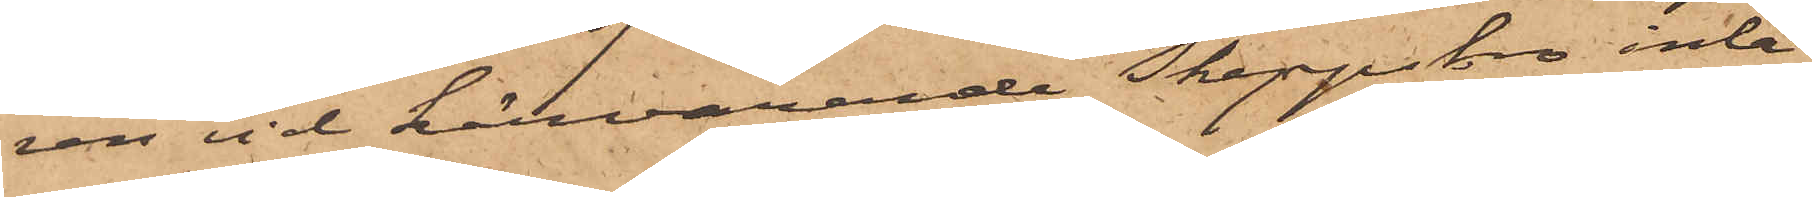ren vid härvarande Skeppsbro inla¬
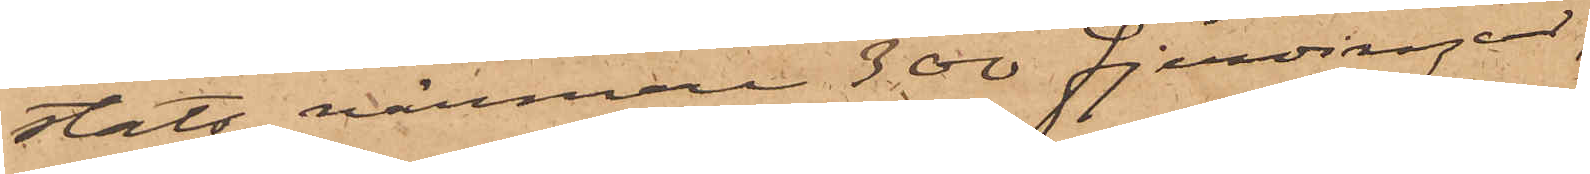stats närmare 300 fjerdingar,
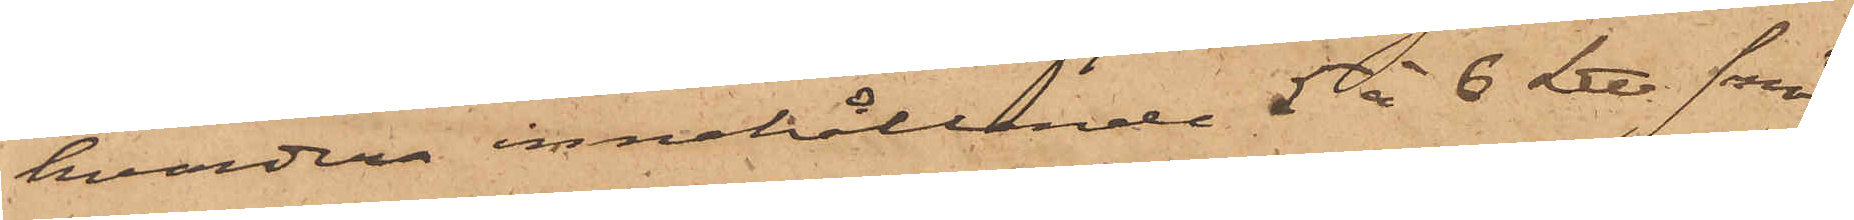hvardera innehållande 5 à 6 L℔. smör;
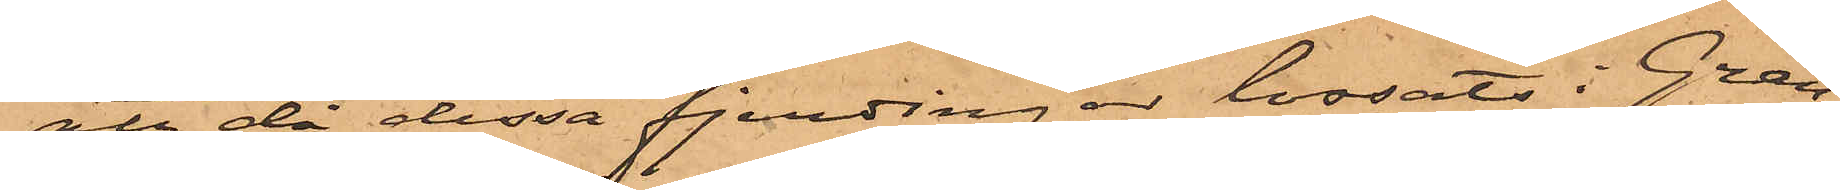att då dessa fjerdingar lossats i Gran¬
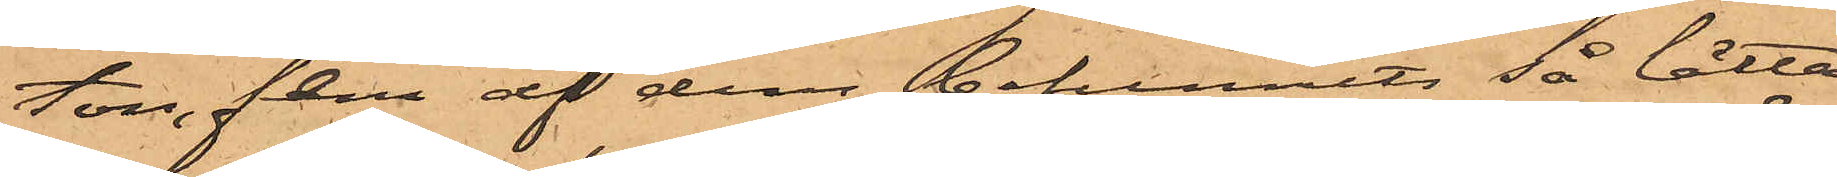ton, flera af dem befunnits så lätta
